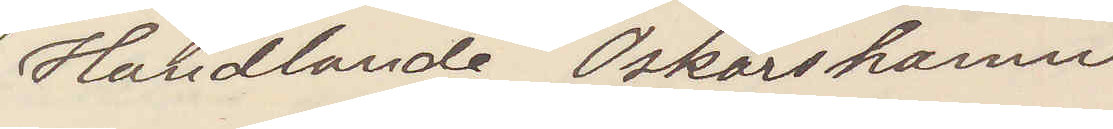Handlanden Oskarhamn
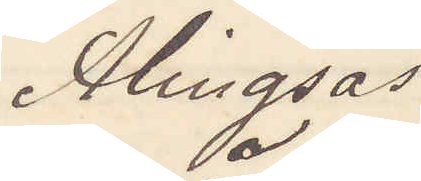Alingsås
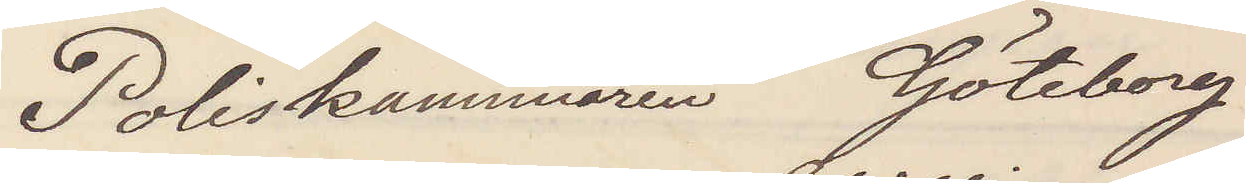Poliskammaren Göteborg
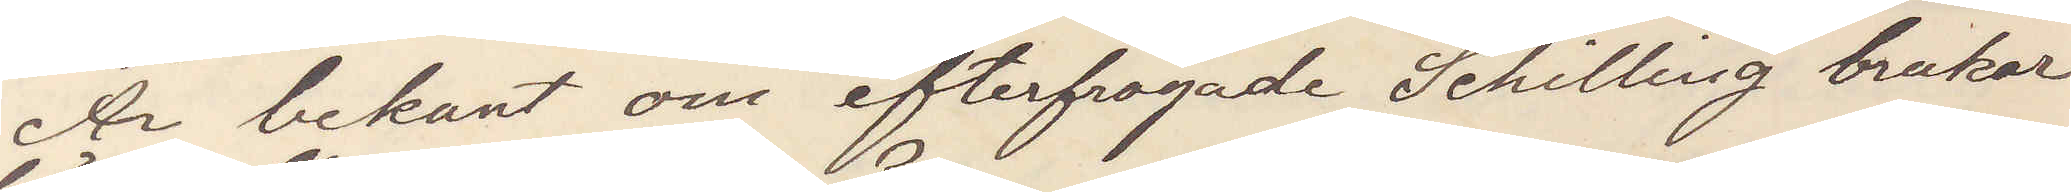Är bekant om efterfrågade Schilling brukar
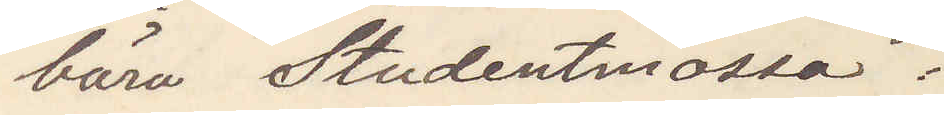bära studentmössa?
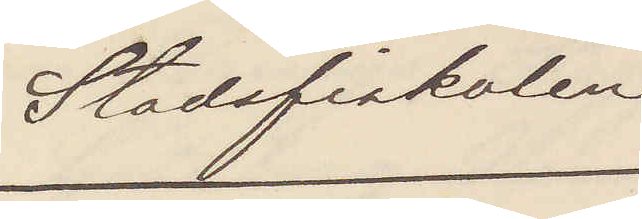Stadsfiskalen
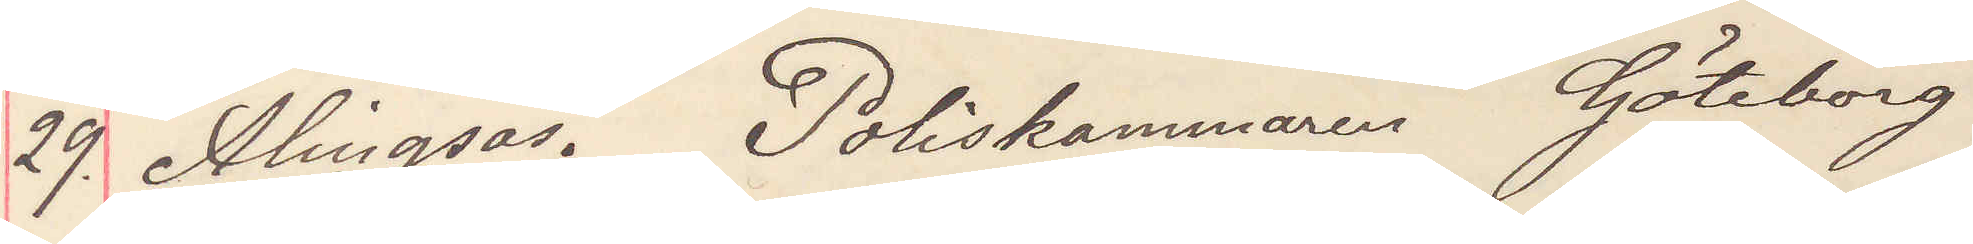29. Alingsås. Poliskammaren Göteborg
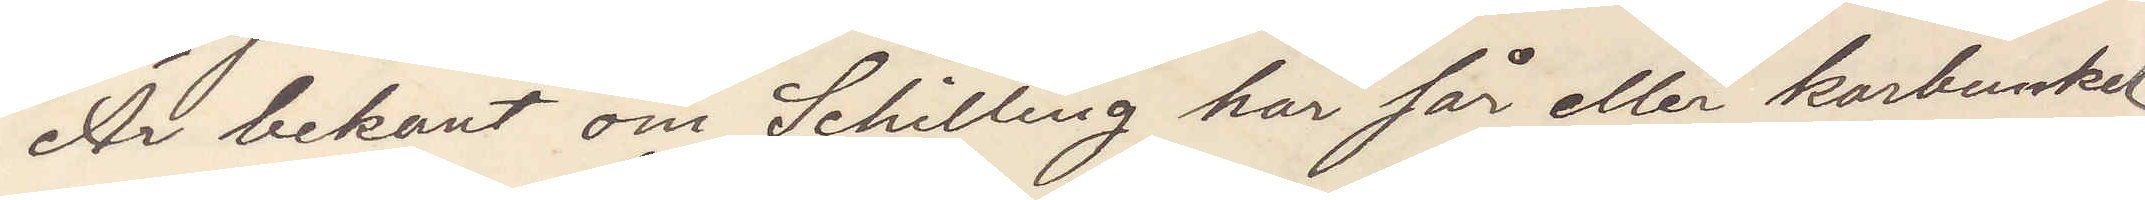Är bekant om Schilling har sår eller karbunkel
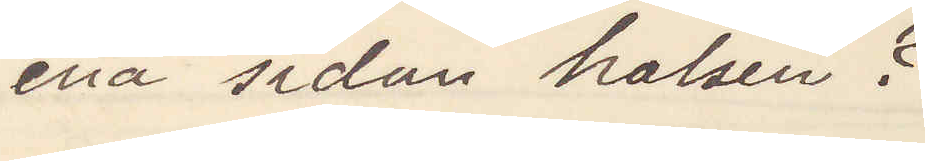ena sidan halsen?
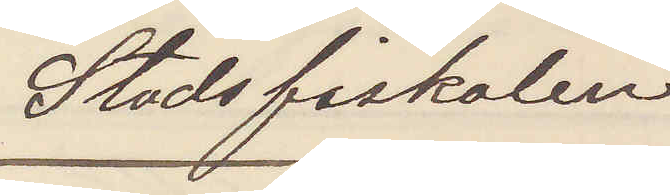Stadsfiskalen
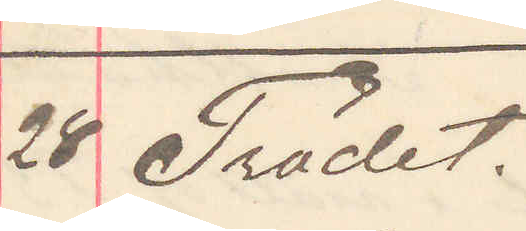28 Trädet.
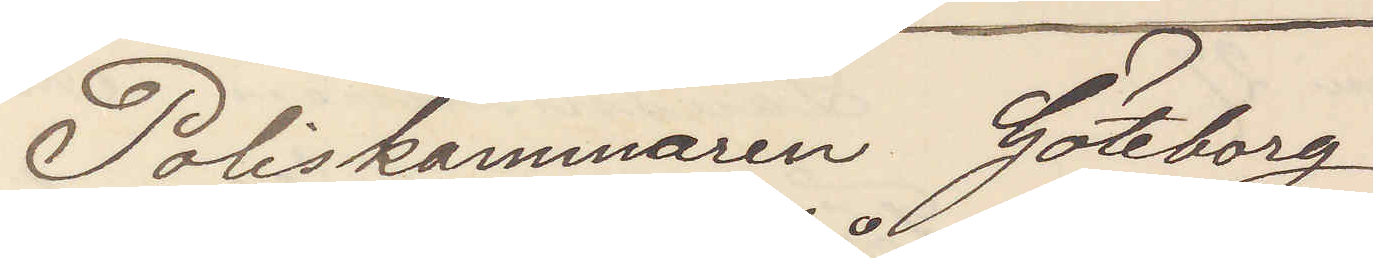Poliskammaren Göteborg
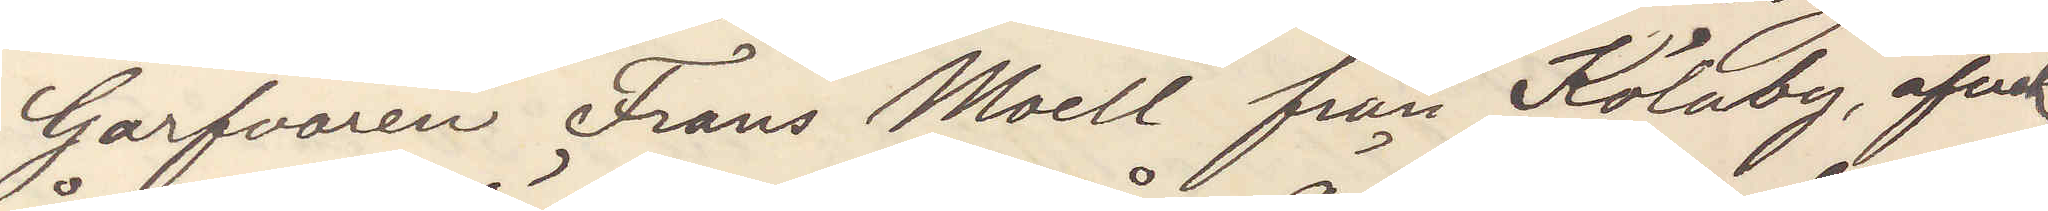Garfvaren Frans Moell från Kölaby, afvek
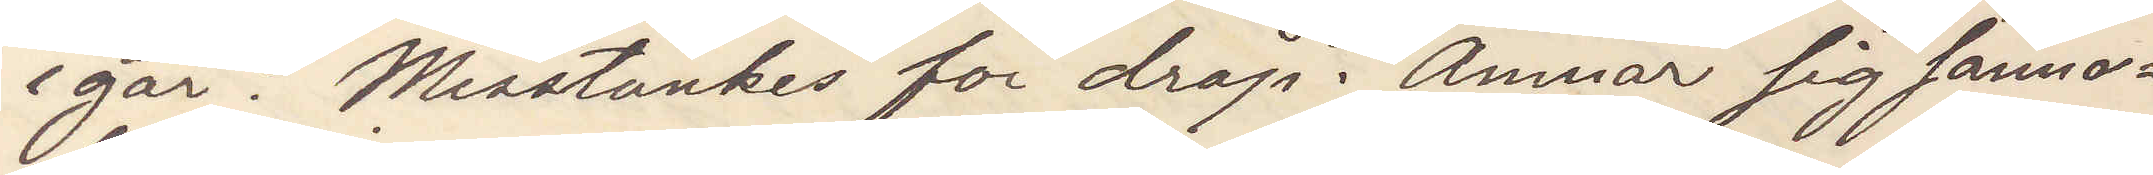igår. Misstänkes för dråp. Ämnar sig sanno¬
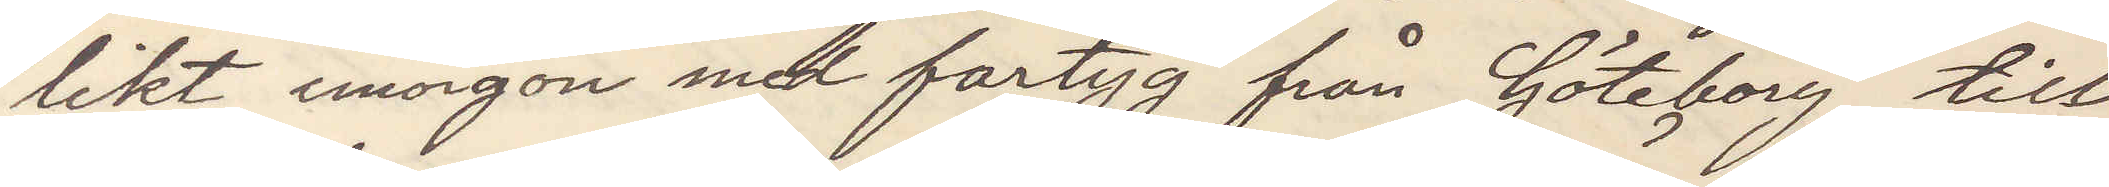likt imorgon med fartyg från Göteborg till
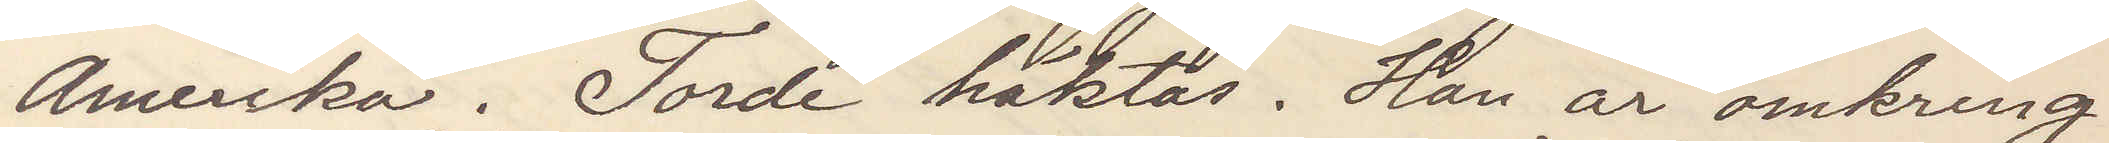Amerika. Torde häktas. han är omkring
